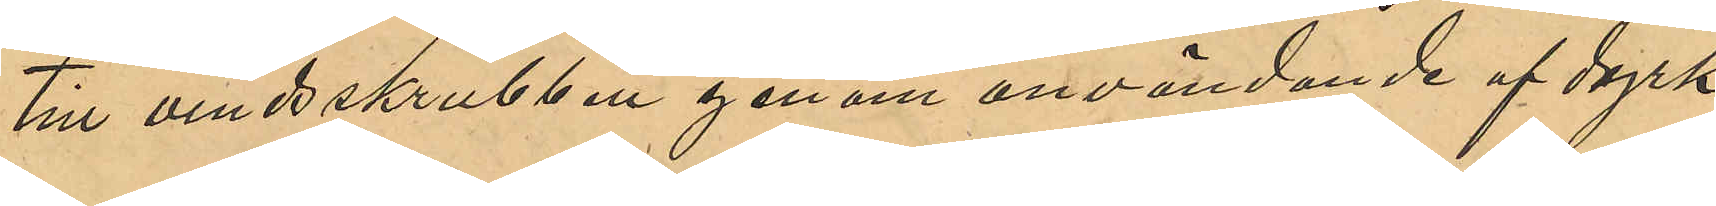till vindsskrubben genom användande af dyrk
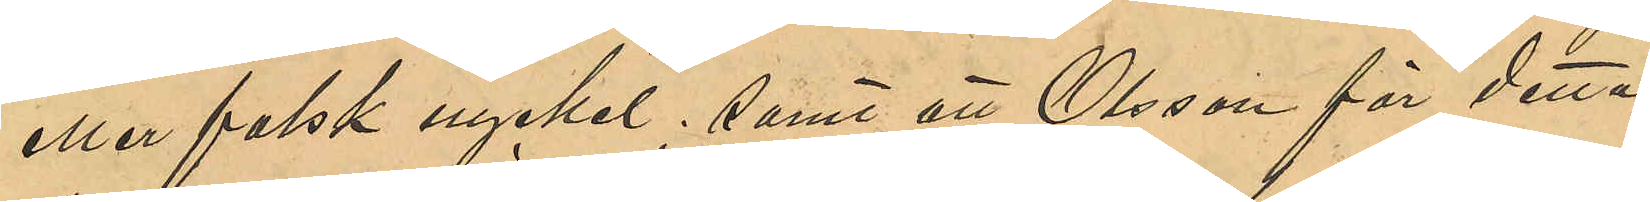eller falsk nyckel; samt att Olsson för detta
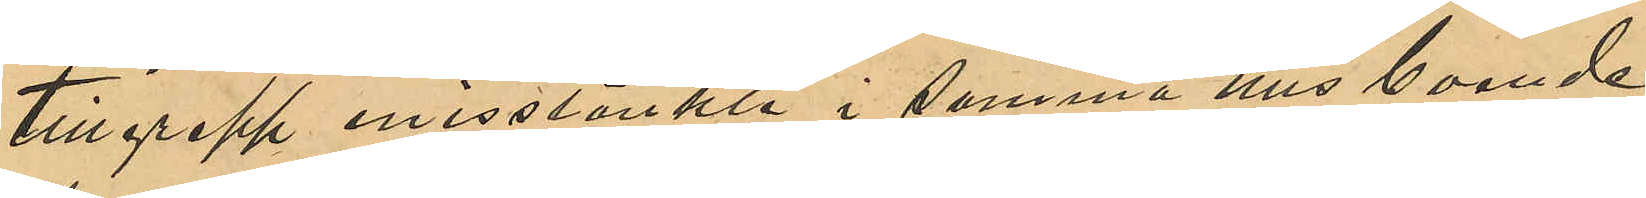tillgrepp misstänkte i samma hus boende
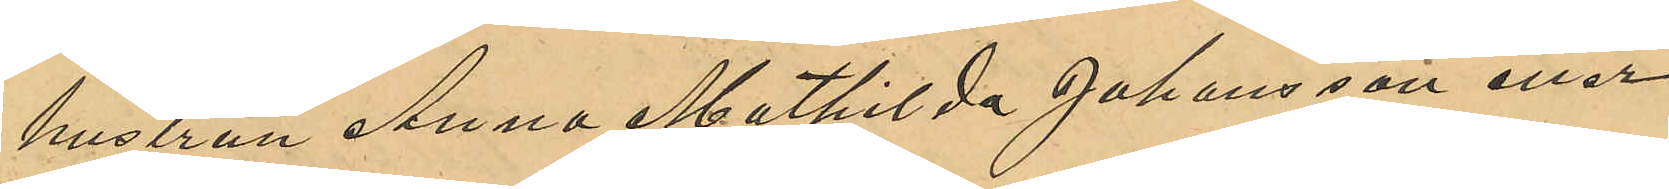hustrun Anna Mathilda Johansson eller
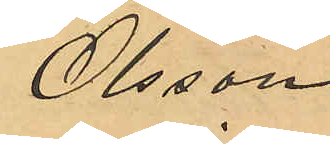Olsson.
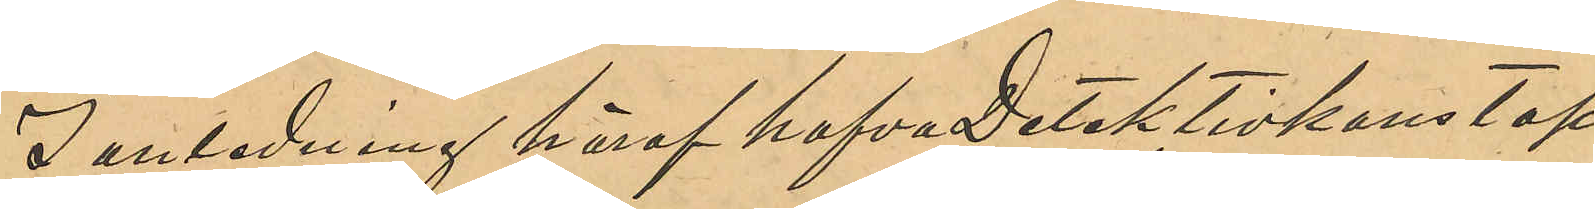I anledning häraf hafva Detektivkonstap¬
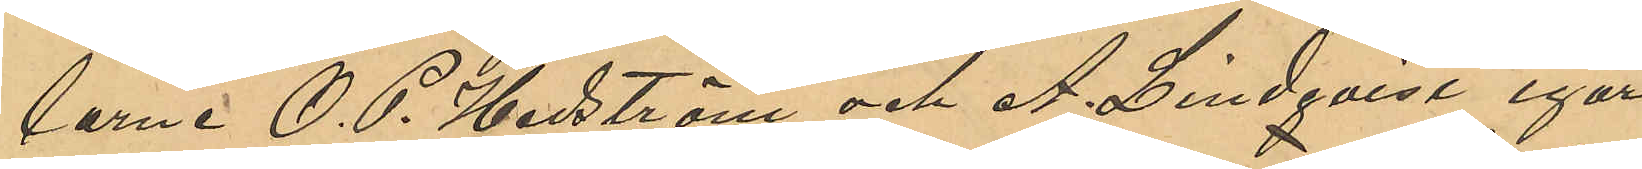larne O. P. Hedström och A. Lindqvist igår
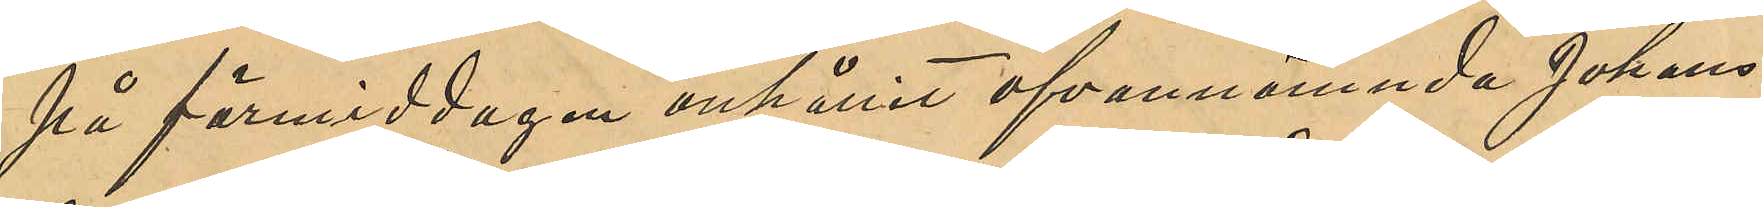på förmiddagen anhållit ofvannämnde Johans¬
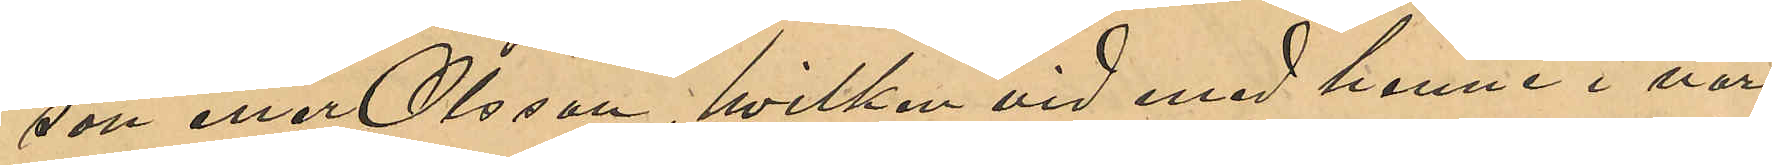son eller Olsson, hvilken vid med henne i när¬
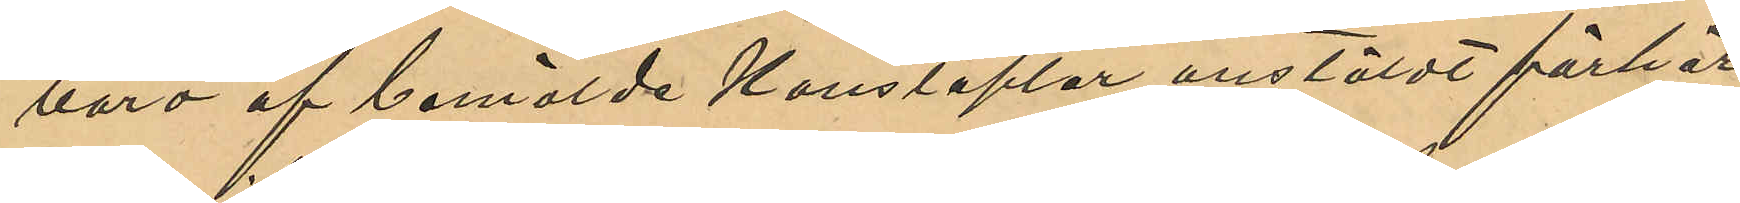varo af bemälde Konstaplar anstäldt förhör
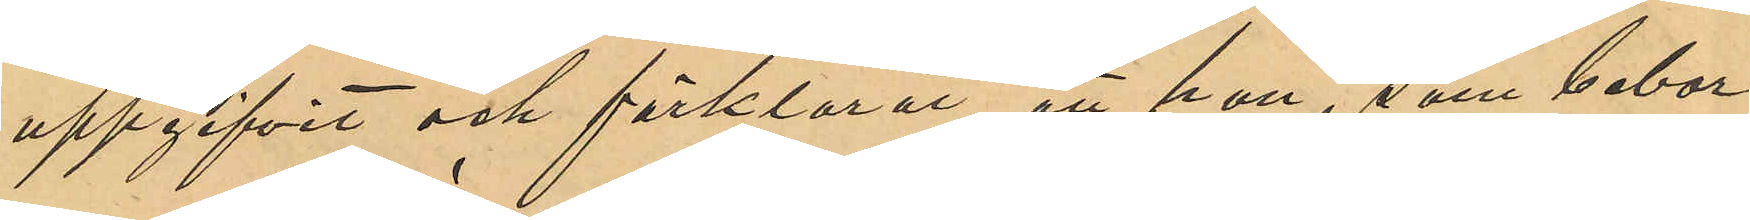uppgifvit och förklarat, att hon, som bebor
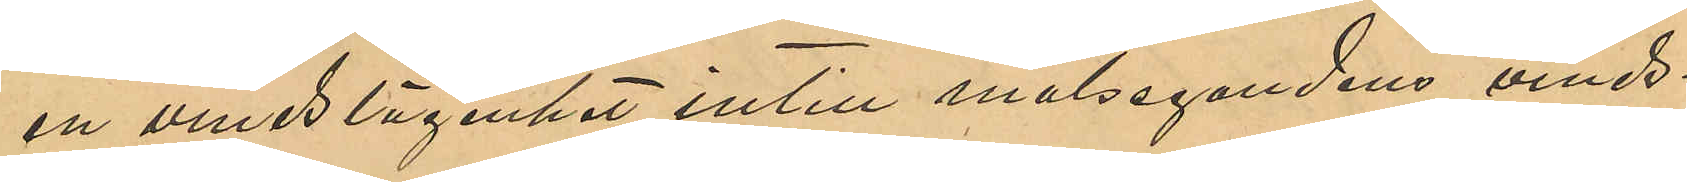en vindslägenhet intill målsegandens vinds¬
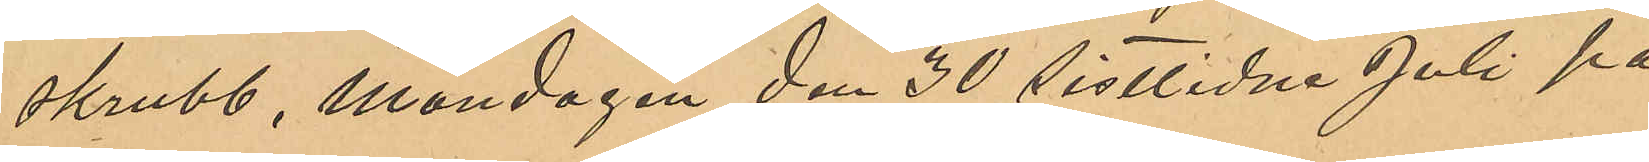skrubb, Måndagen den 30 sistlidne Juli på
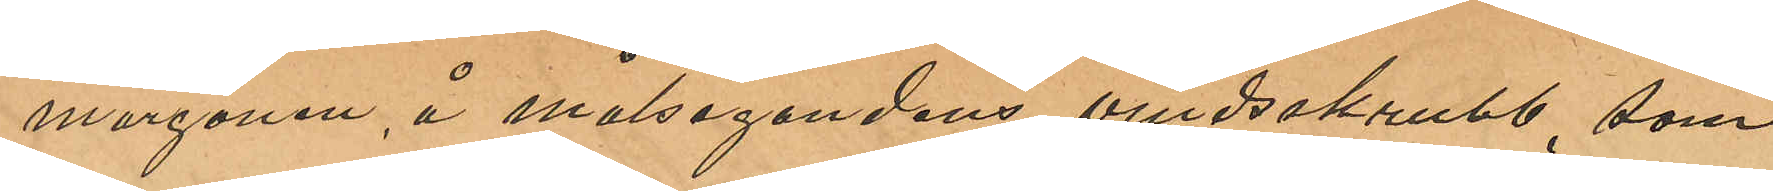morgonen, å målsegandens vindsskrubb, som
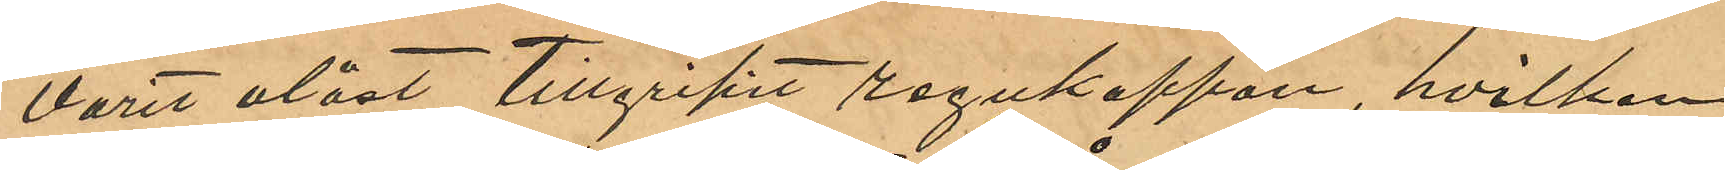varit olåst tillgripit regnkappan, hvilken
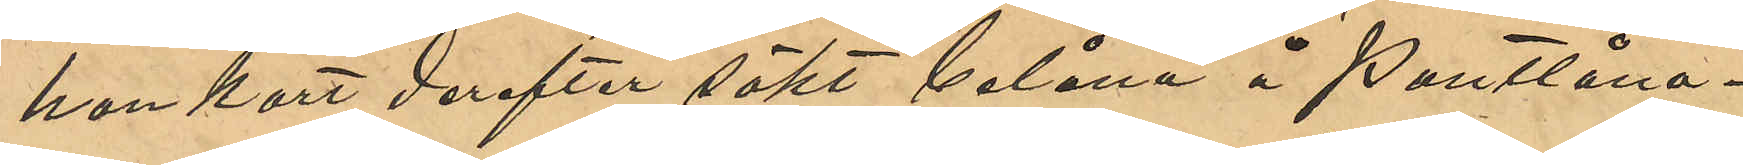hon kort derefter sökt belåna å Pantlåna¬
